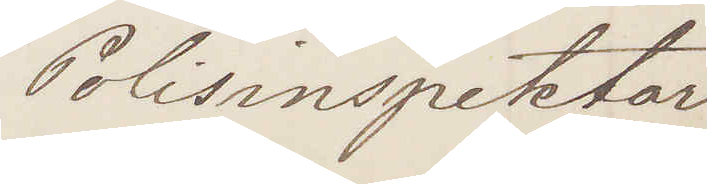Polisinspektor
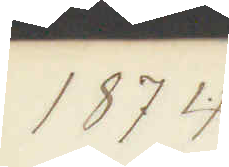1874
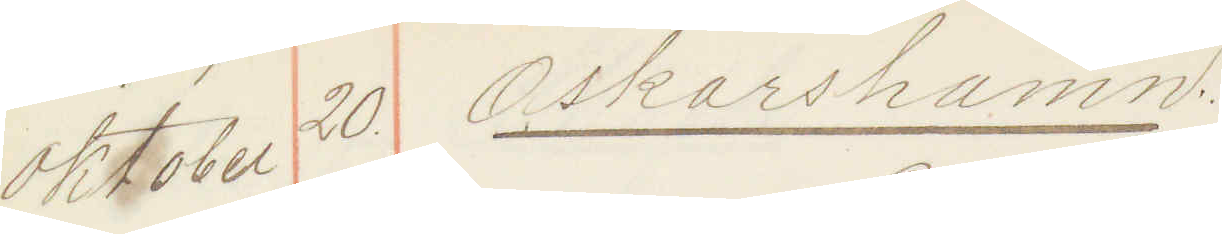Oktober 20 Oskarshamn
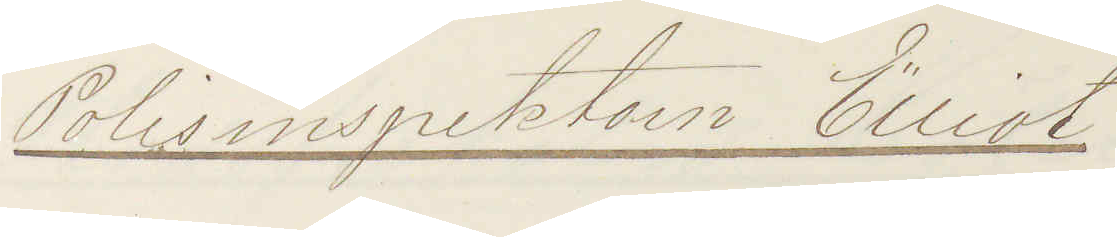Polisinspektorn Elliot
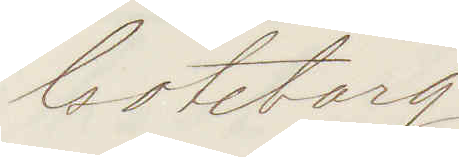Göteborg
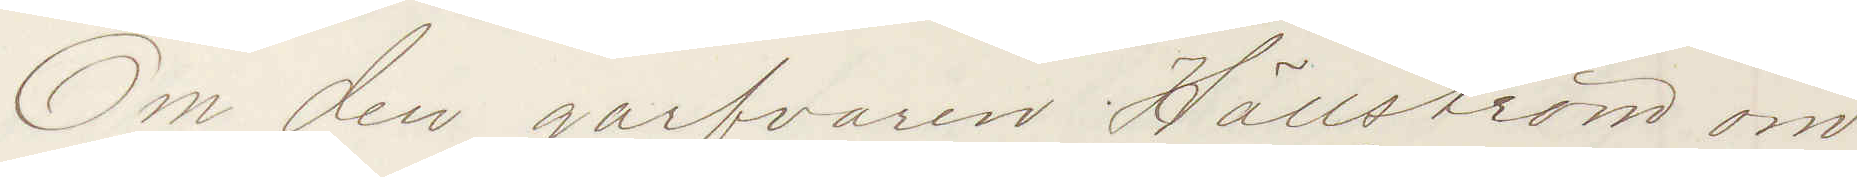Om den garfvaren Hällström om
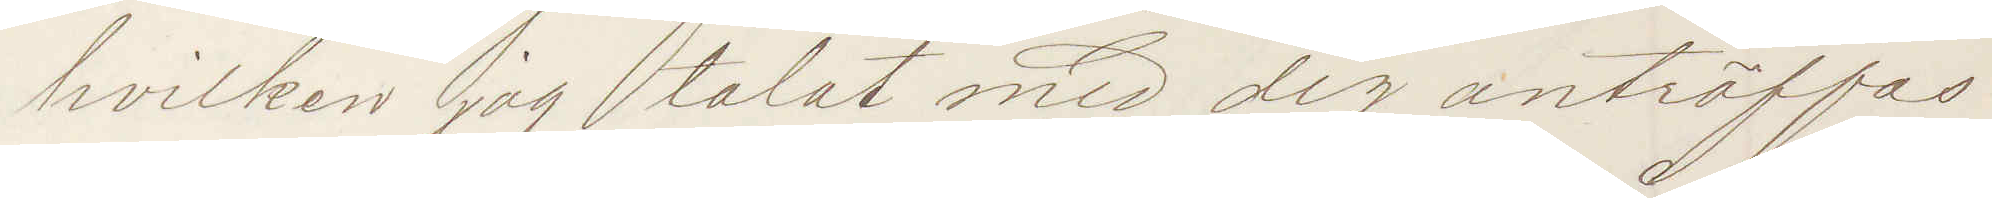hvilken jag talat med dig anträffas
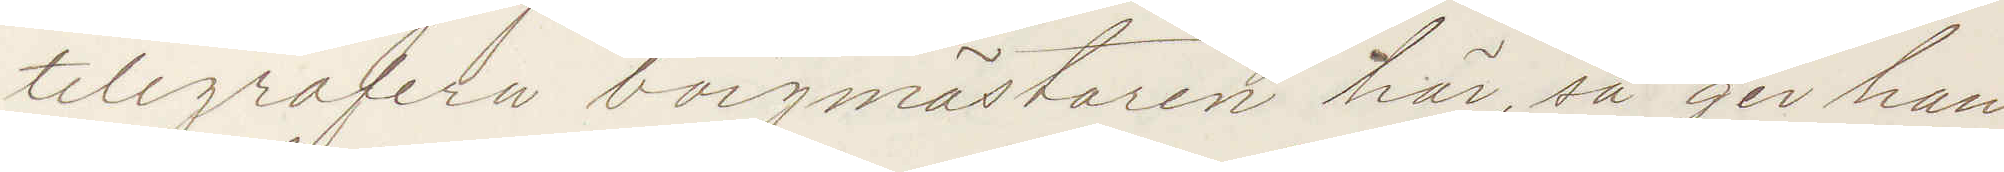telegrafera borgmästaren här så ger han
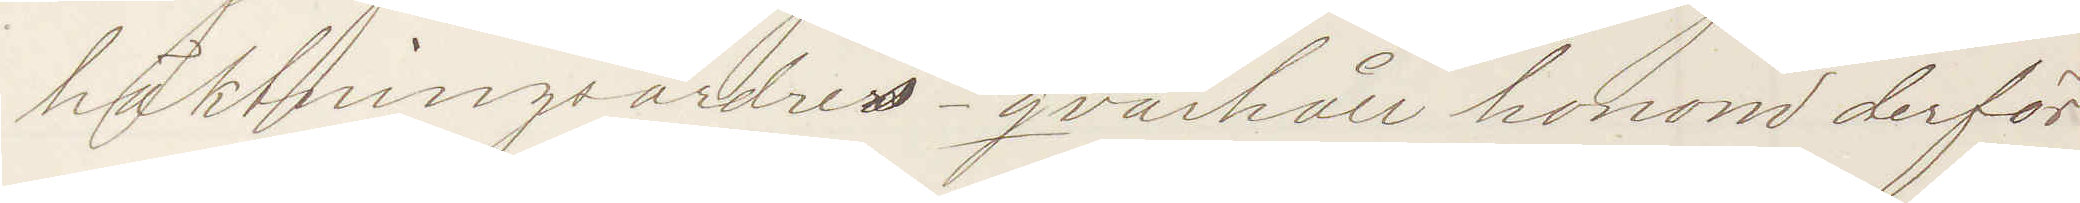häktningsordres - qvarhåll honom derför
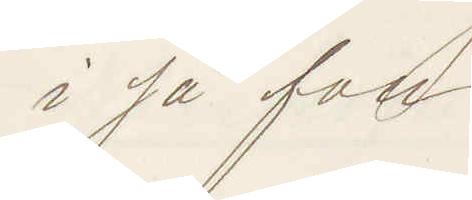i så fall
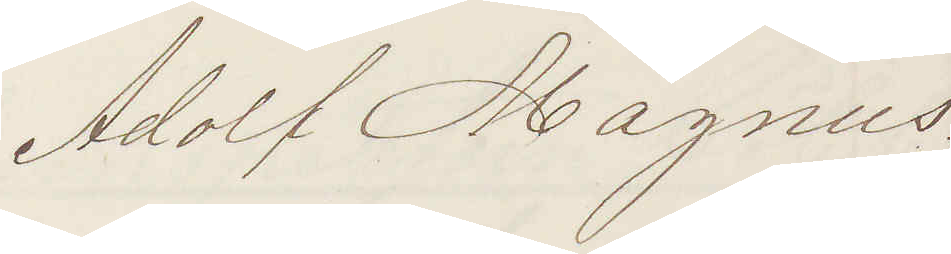Adolf Magnus.
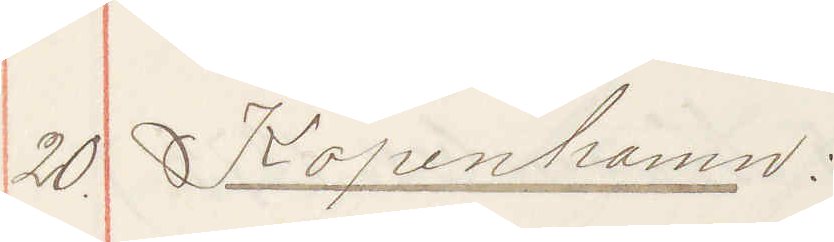20. Köpenhamn:
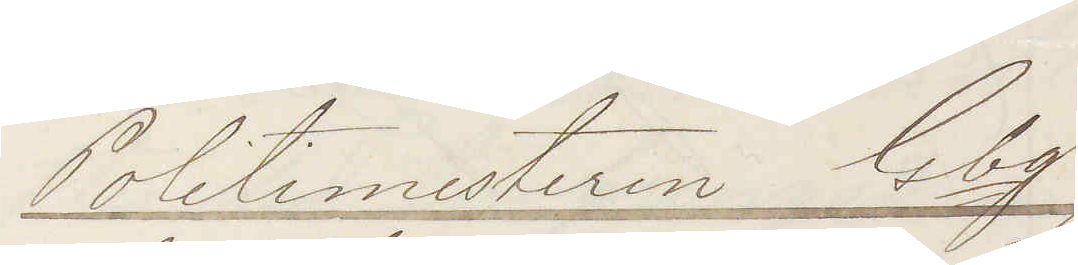Politimesteren Gbg
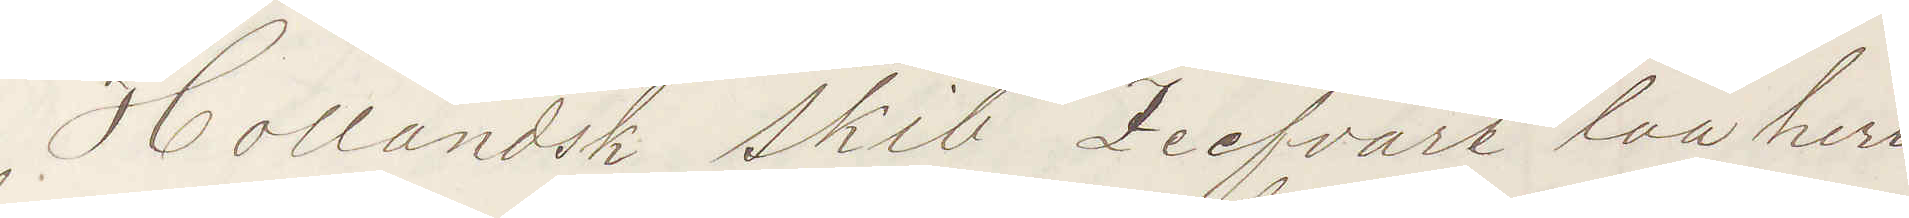Hollandsk skib Zeefvarte laa heri
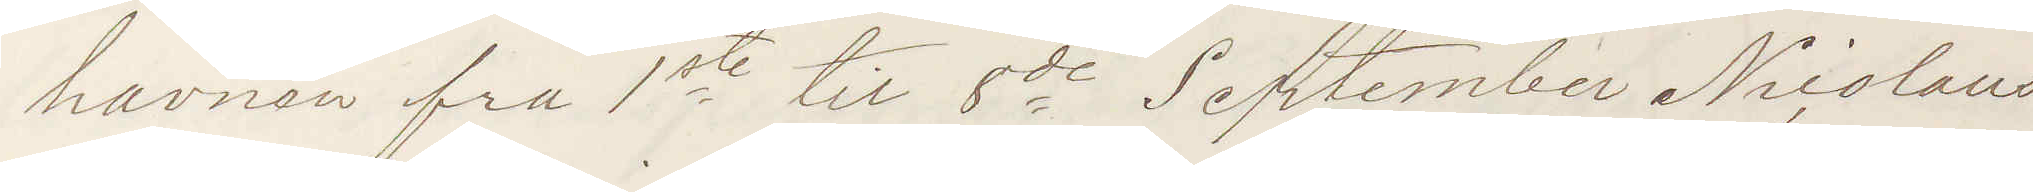havnen fra 1ste til 8de September Nicolaus
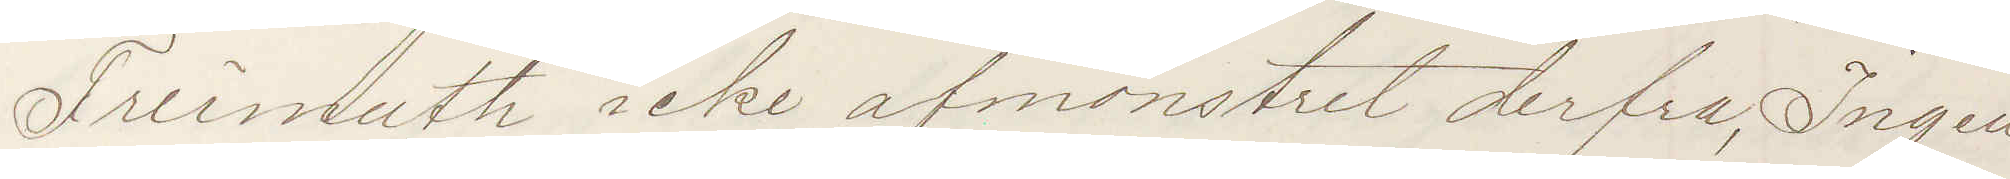Freimuth icke afmönstret derfra Ingen
